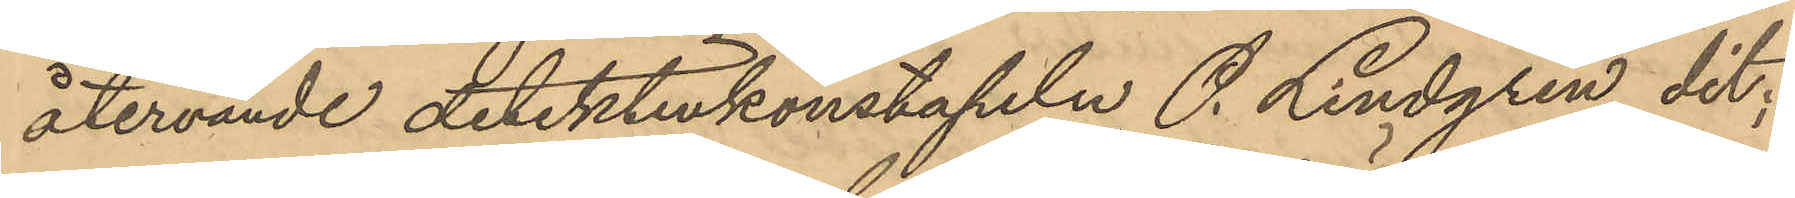återvände detektivkonstapeln P. Lindgren dit;
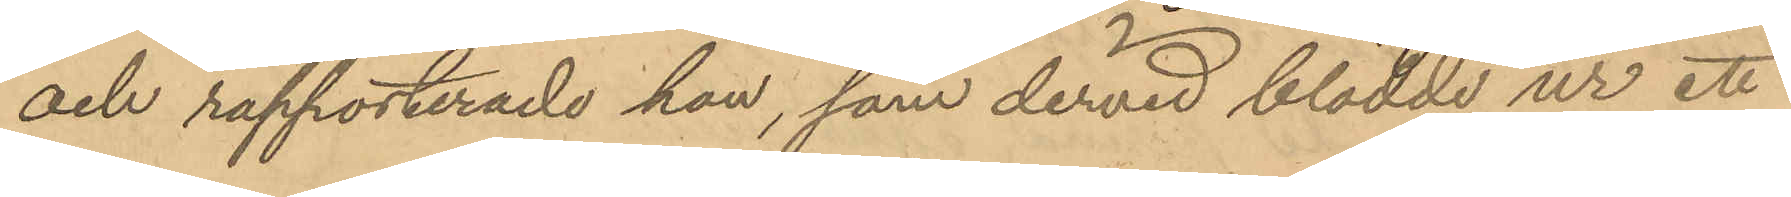och rapporterade han, som dervid blödde ur ett
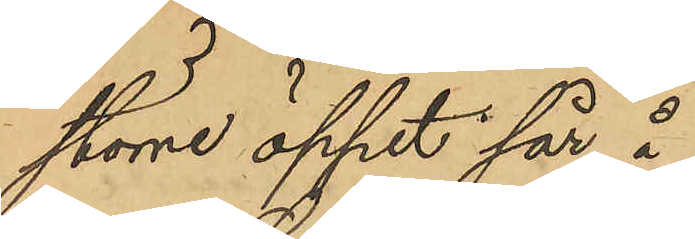större öppet sår å
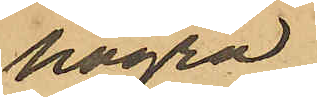högra
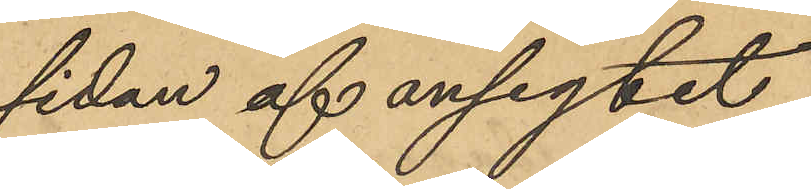sidan af ansigtet,
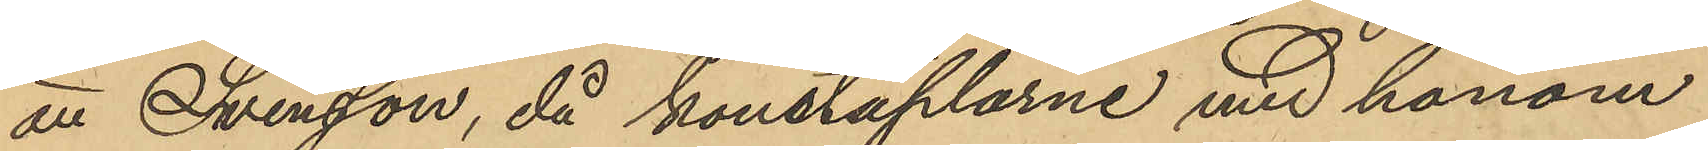att Svensson, då konstaplarne med honom
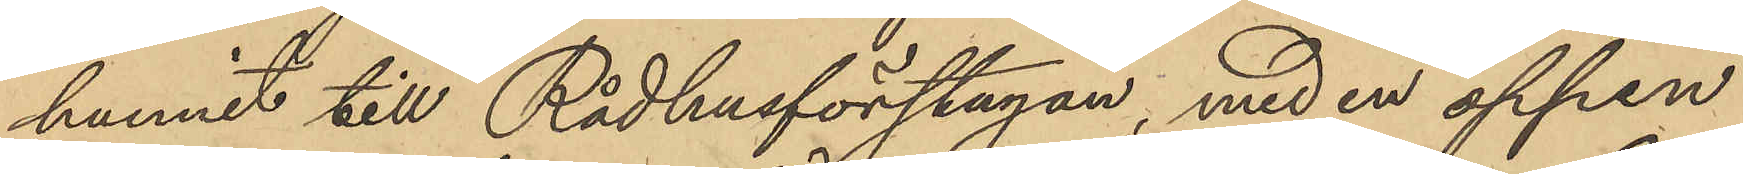hunnit till Rådhusförstugan, med en öppen
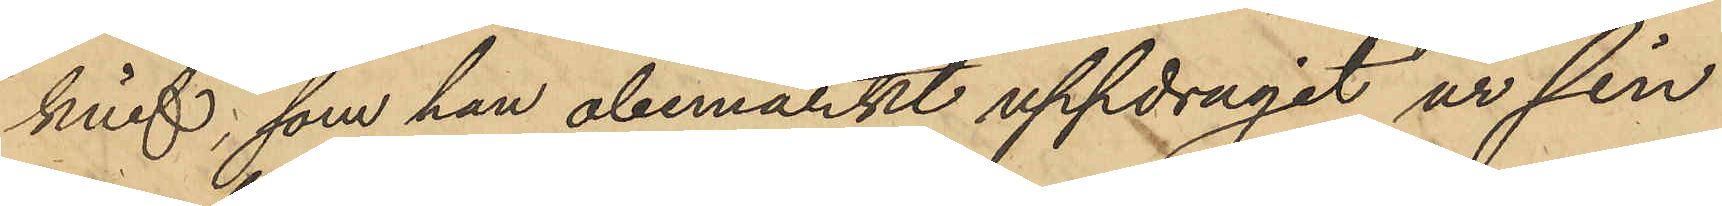knif, som han obemärkt uppdragit ur sin
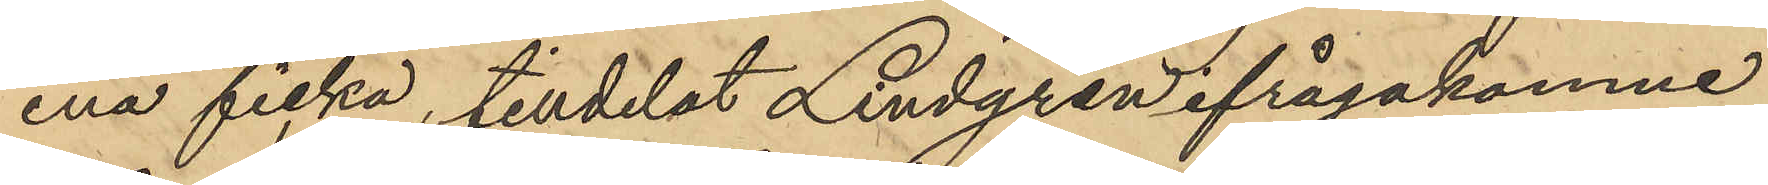ena ficka, tilldelat Lindgren ifrågakomne
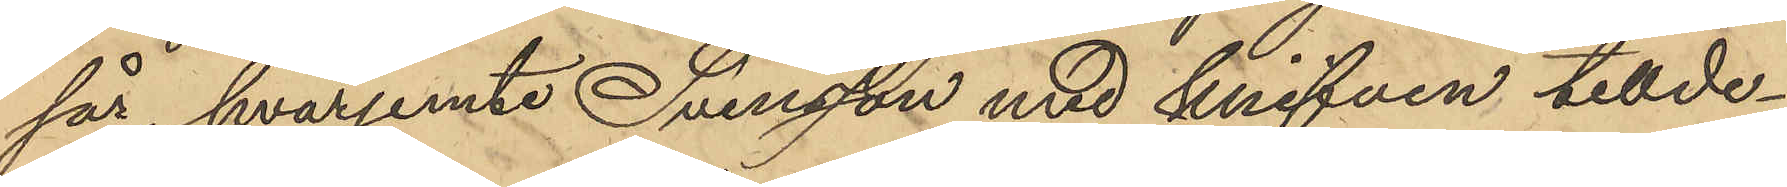sår, hvarjemte Svensson med knifven tillde¬
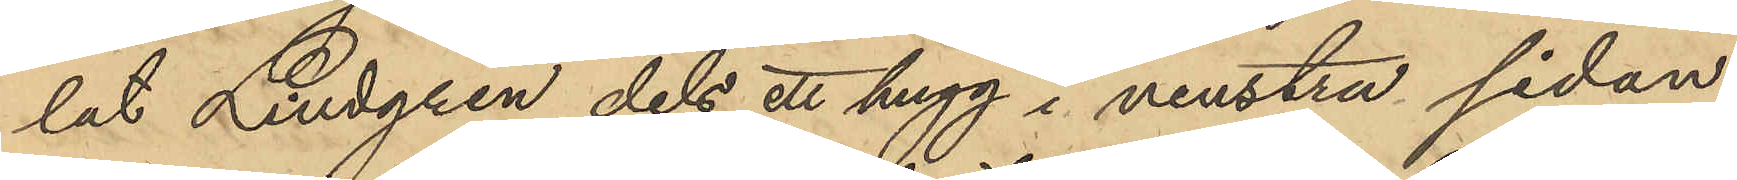lat Lindgren dels ett hugg i venstra sidan
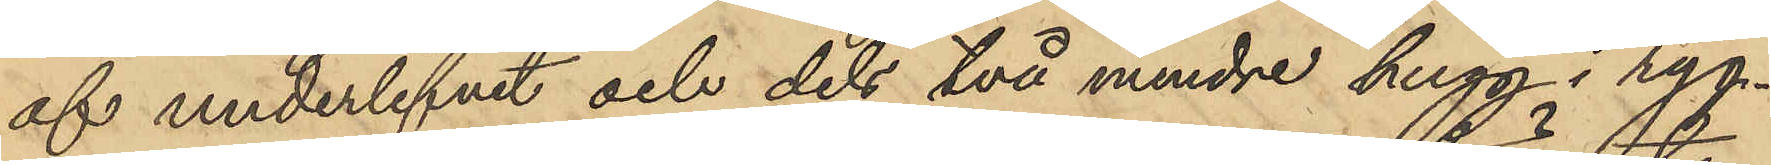af underlifvet och dels två mindre hugg i ryg¬
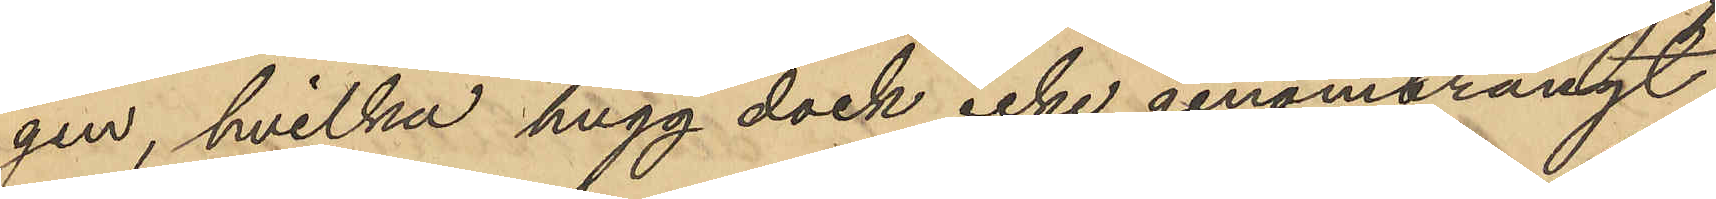gen, hvilka hugg dock icke genomträngt
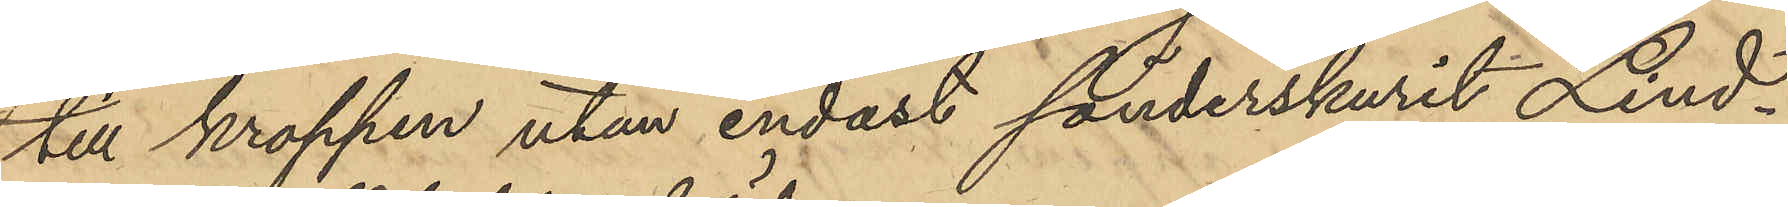till kroppen utan endast sönderskurit Lind¬
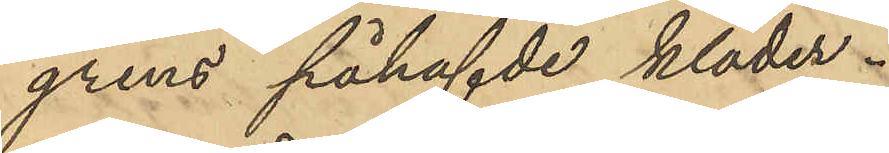grens påhafvde kläder.
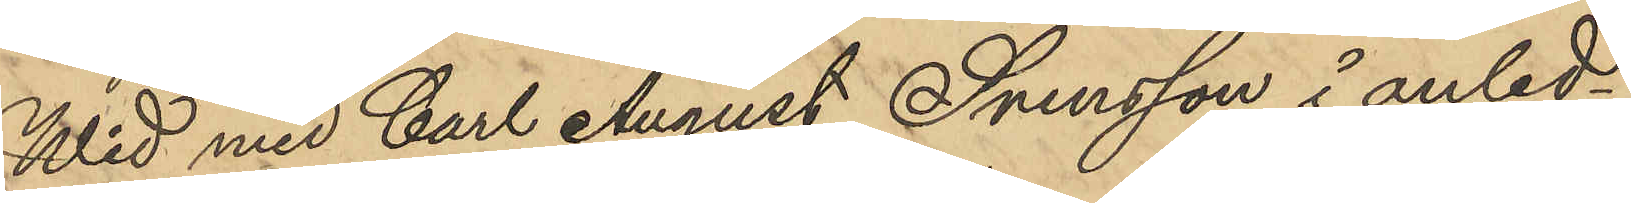Wid med Carl August Svensson i anled¬
